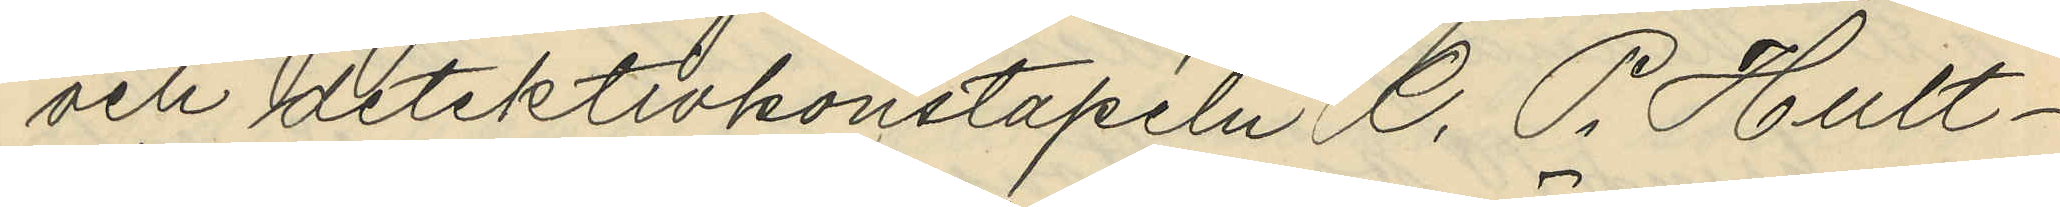och detektivkonstapeln C. P. Hult¬
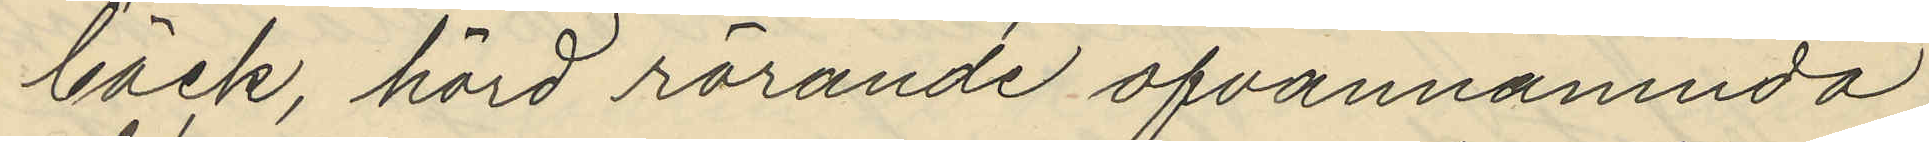bäck, hörd rörande ofvannämnda
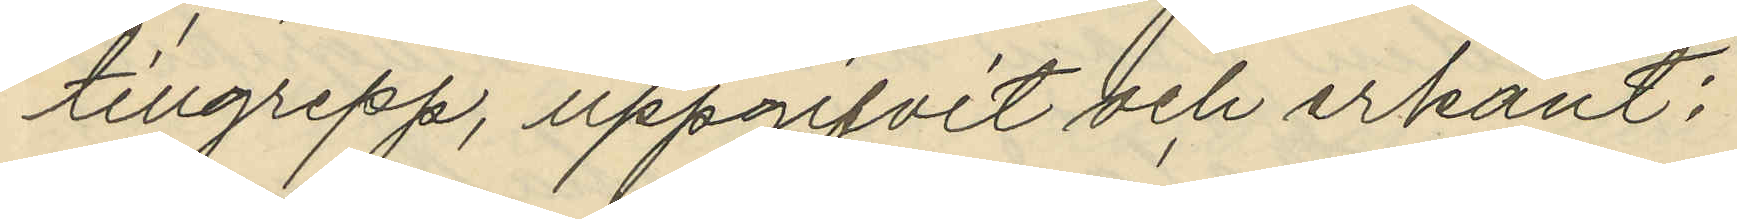tillgrepp, uppgifvit och erkänt:
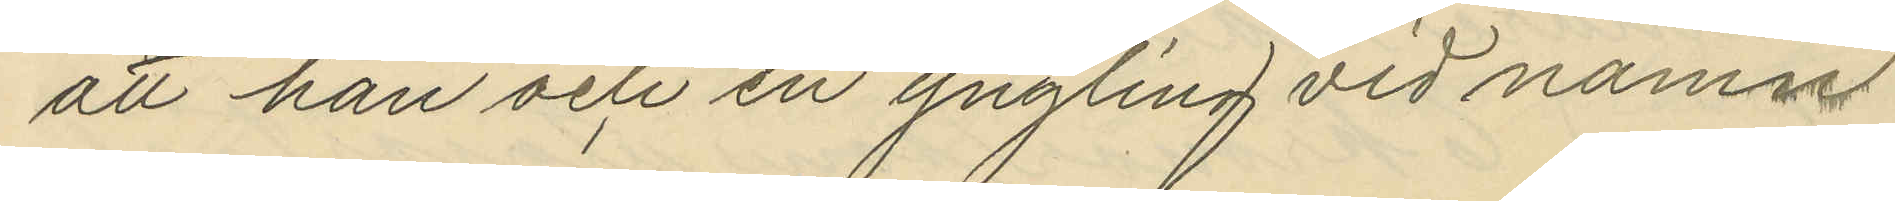att han och en yngling vid namn
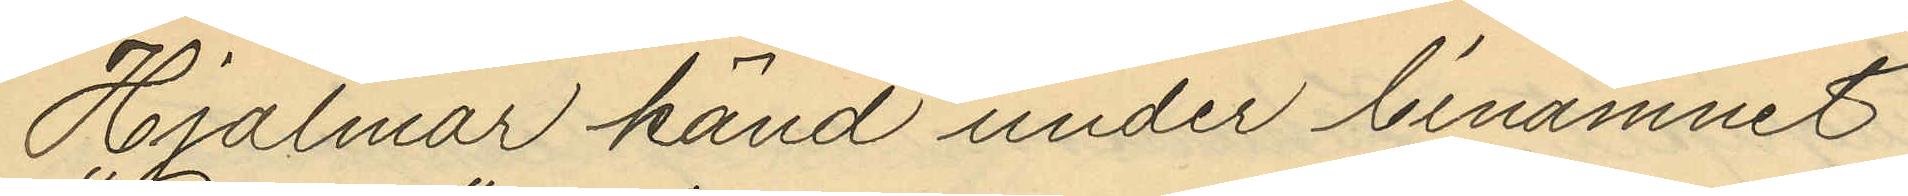Hjalmar känd under binamnet
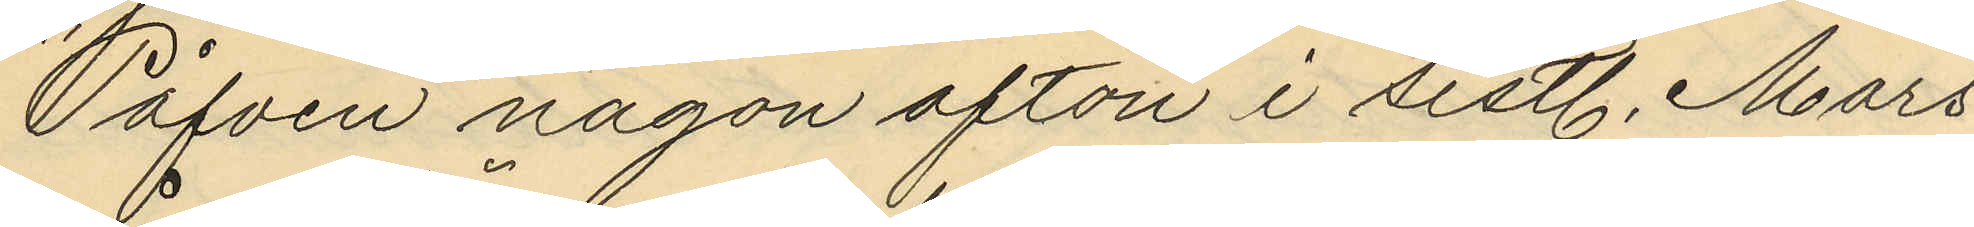"Påfven" någon afton i sistl. Mars
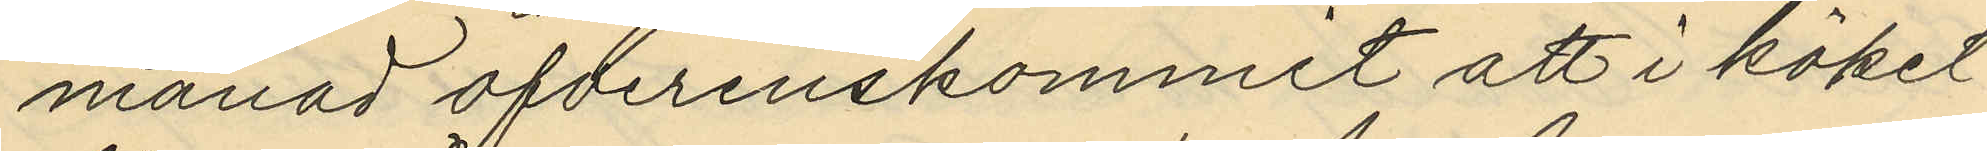månad öfterenskommit att i köket
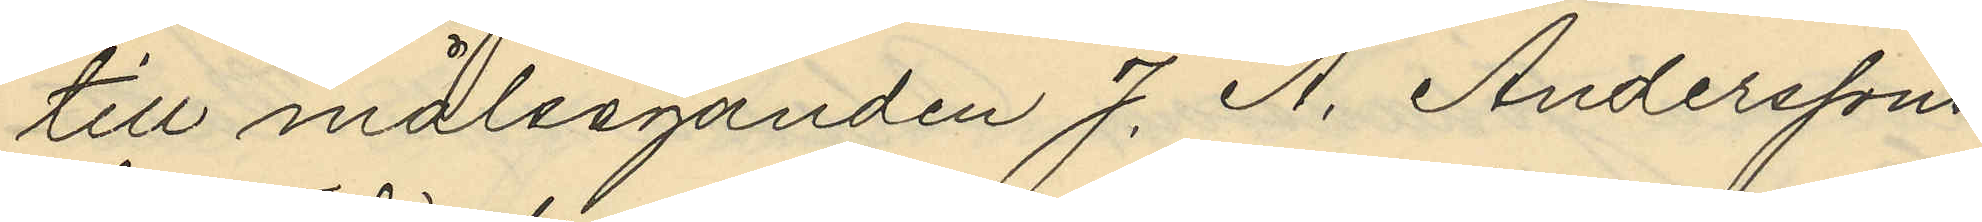till målsaganden J. A. Anderssons
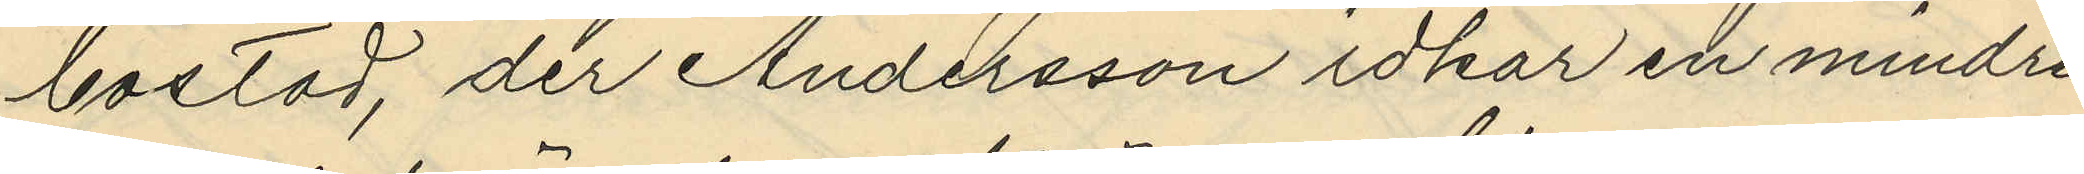bostad, der Andersson idkar en mindre
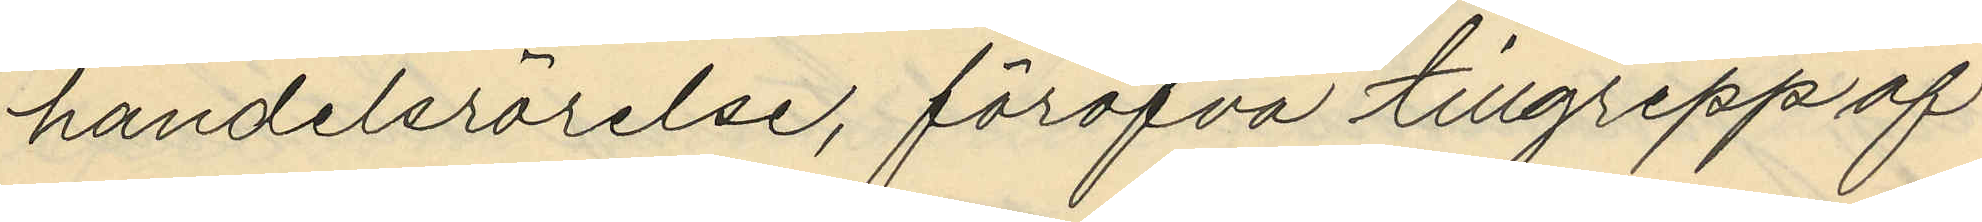handelsrörelse, föröfva tillgrepp af
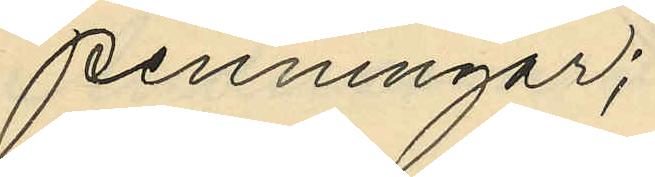penningar;
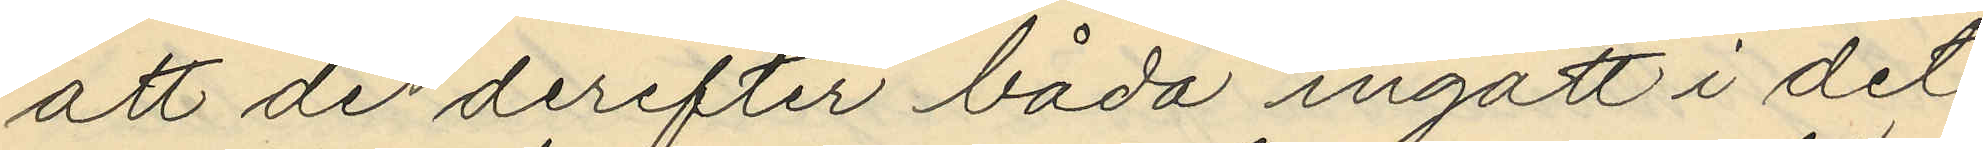att de derefter båda ingått i det
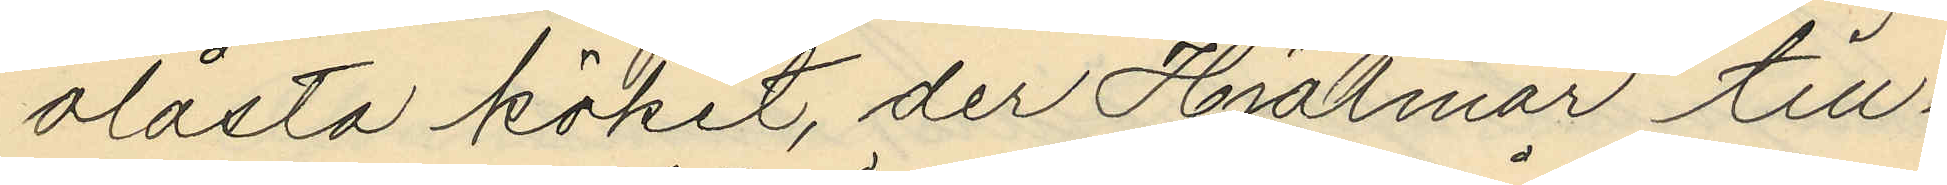olåsta köket, der Hjalmar till¬
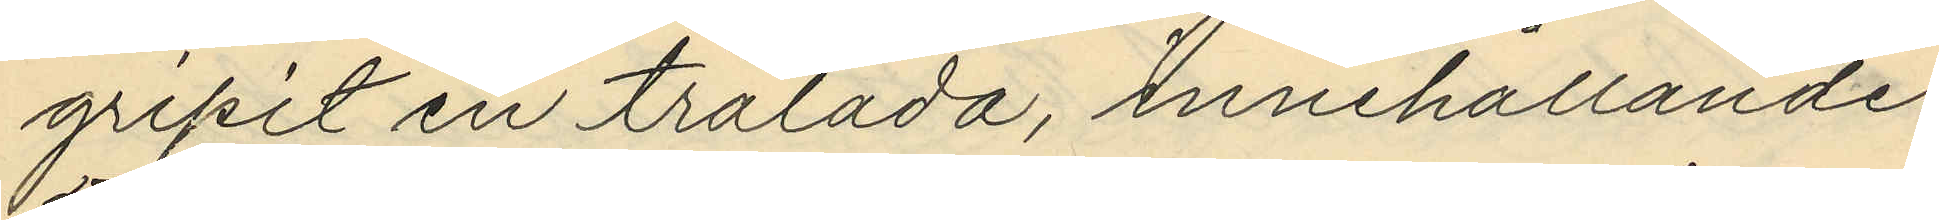gripit en trälåda, innehållande
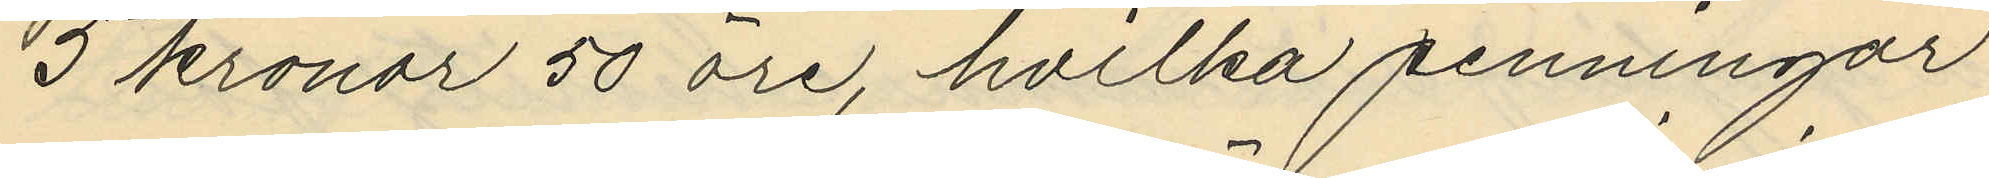5 kronor 50 öre, hvilka penningar
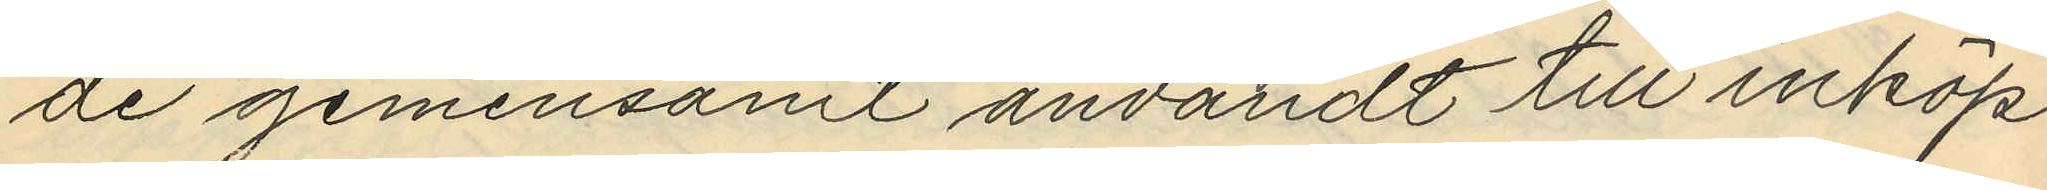de gemensamt användt till inköp
